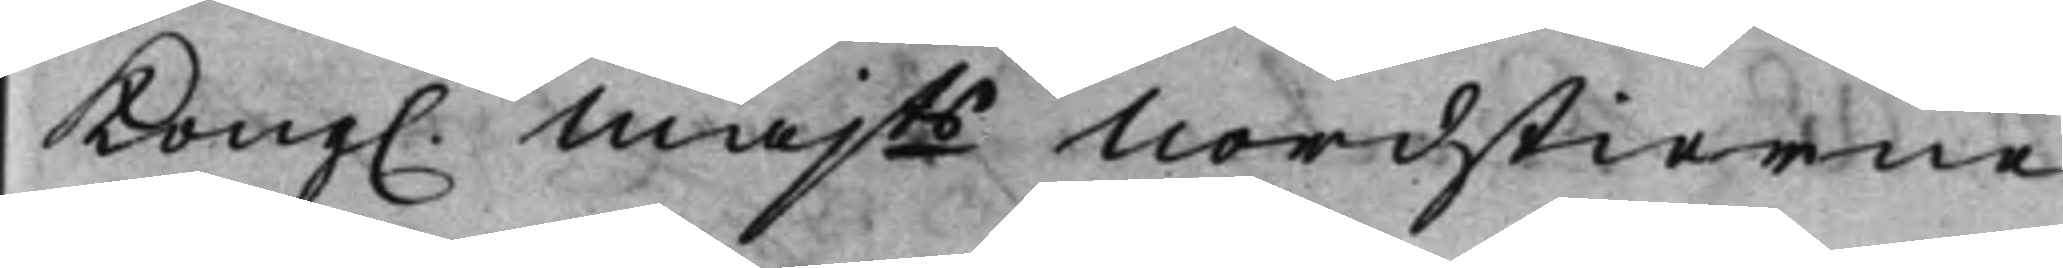Kong. Majts Nordstierne 
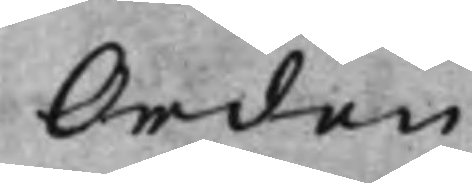Orden
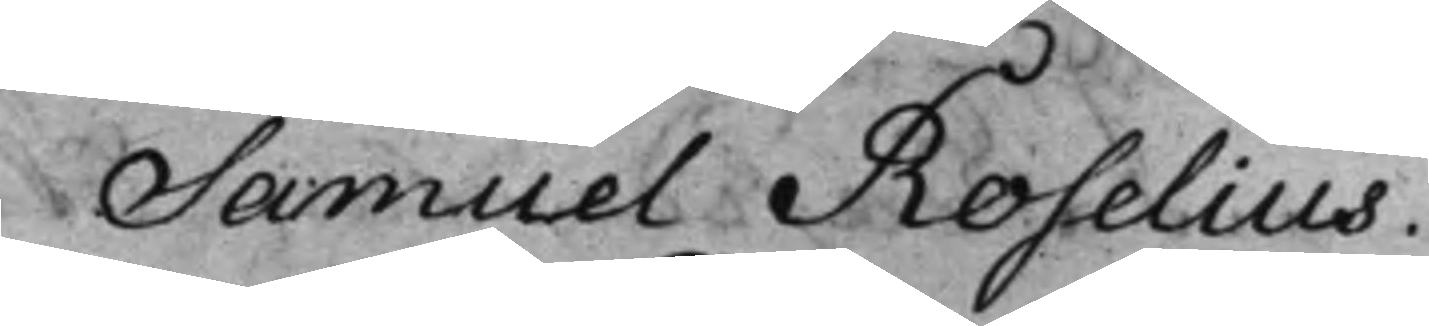Samuel Roselius.
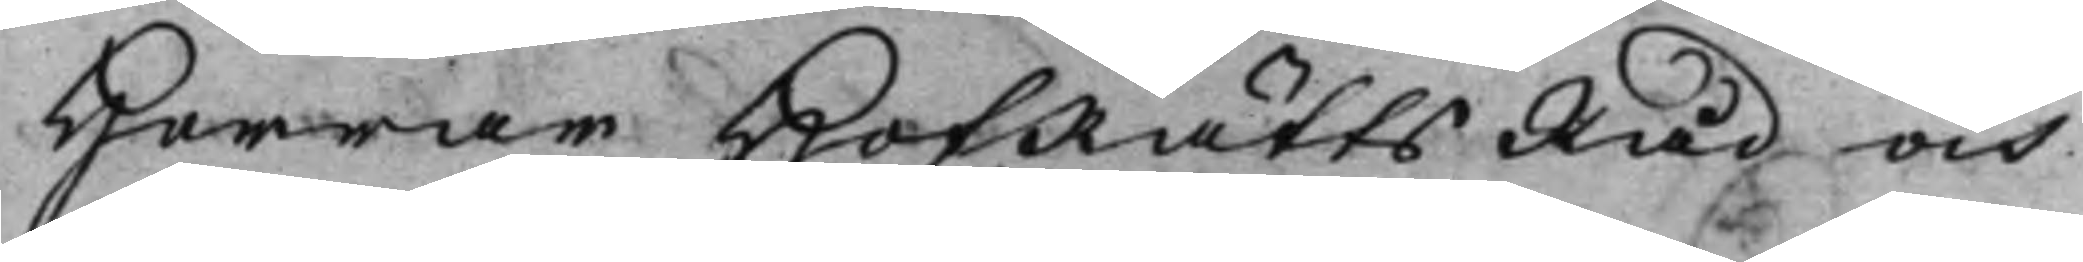Herrar HofRättsRåd och
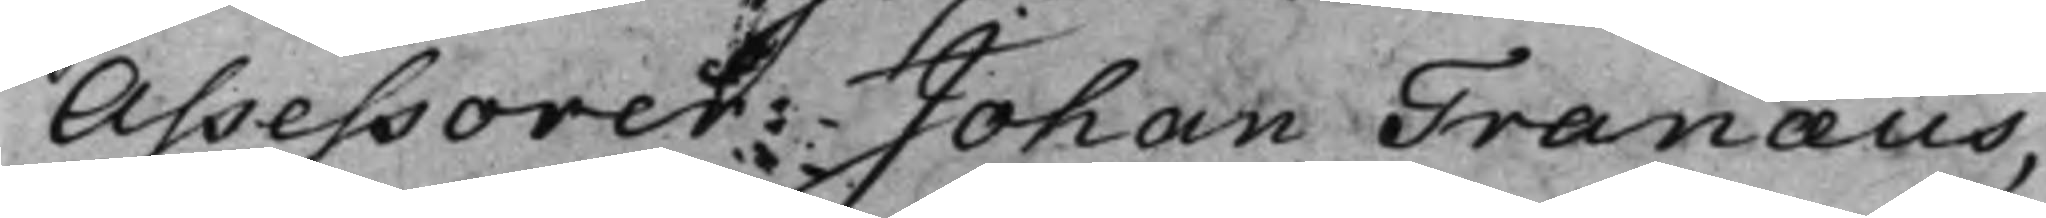Assessorer: Johan Tranæus,
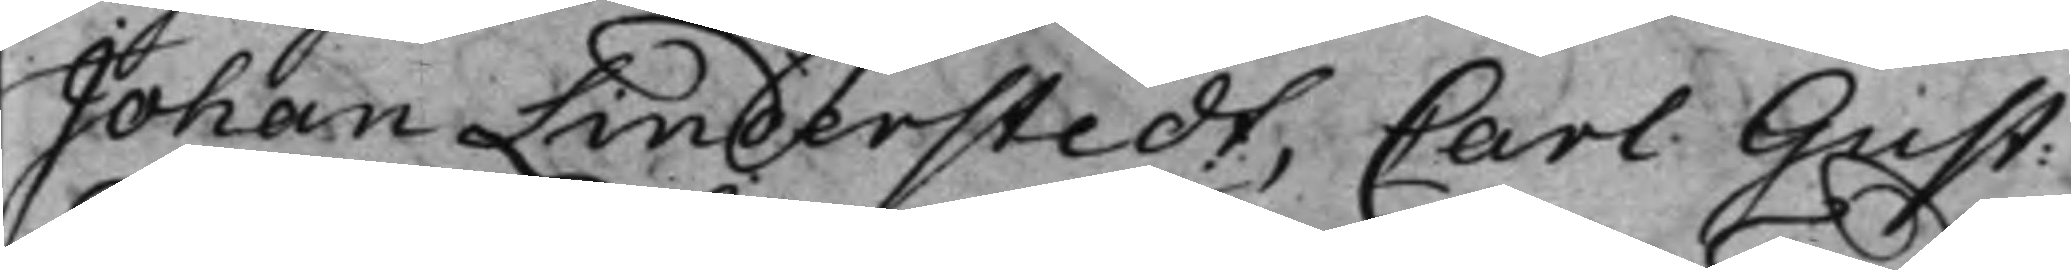Johan Linderstedt, Carl Gust: 
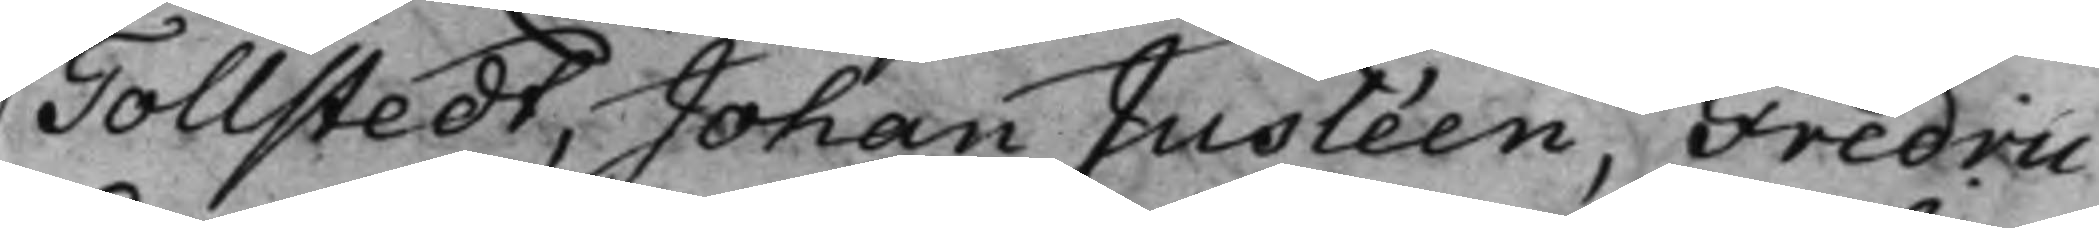Tollstedt, Johan Jusléen, Fredric
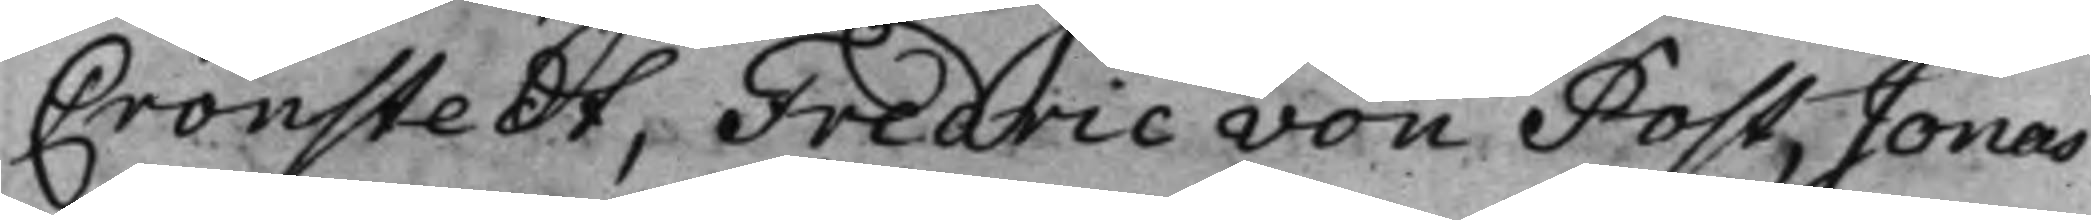Cronstedt, Fredric von Post, Jonas
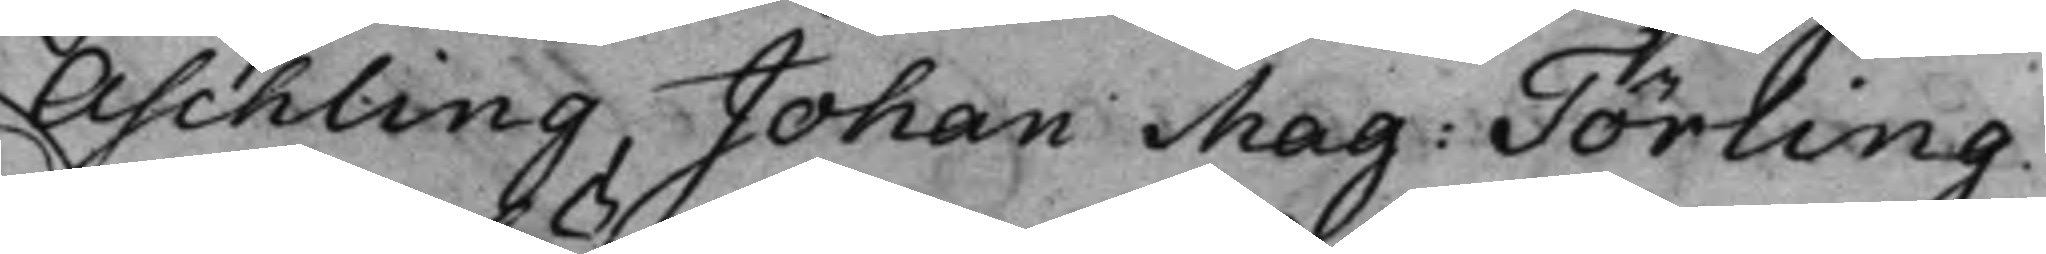Aschling, Johan Mag: Törling. 
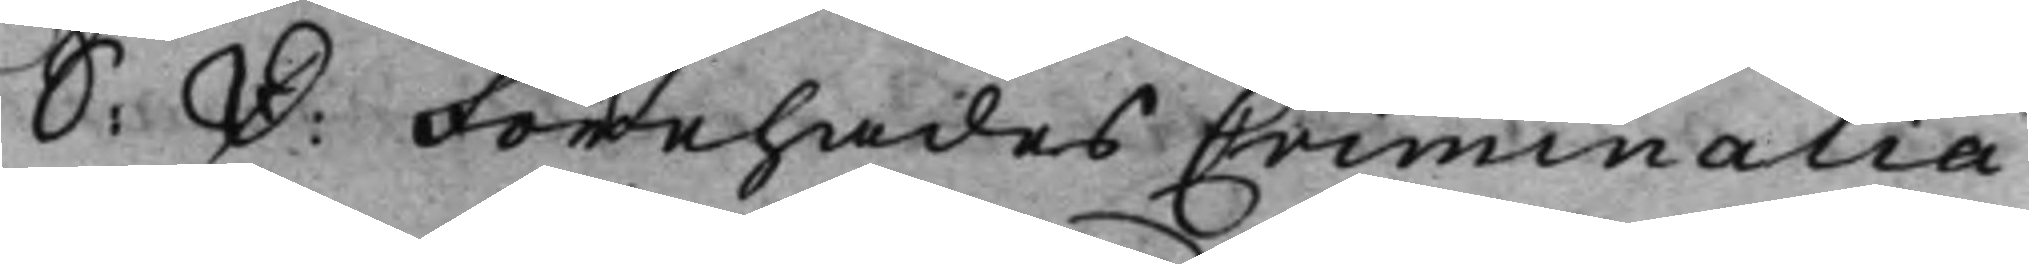S: D: Förehades Criminalia 
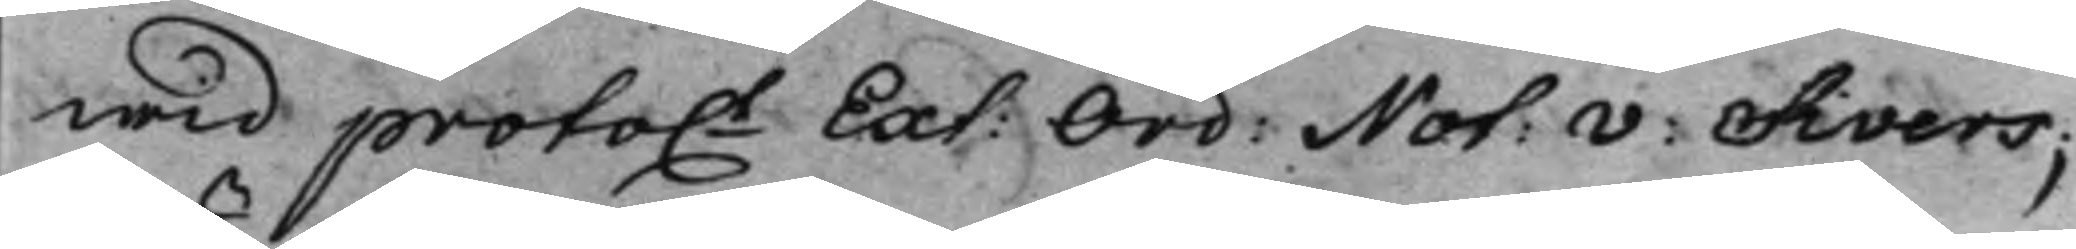wid proto.t Ext: Ord: Not: v: Sivers; 
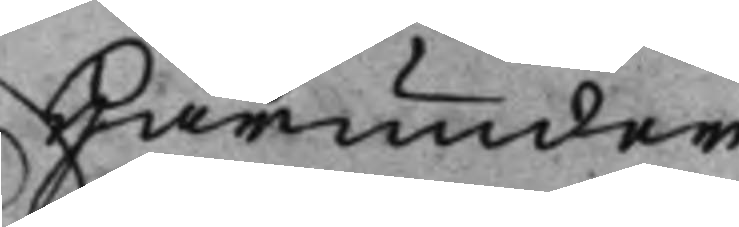Härunder
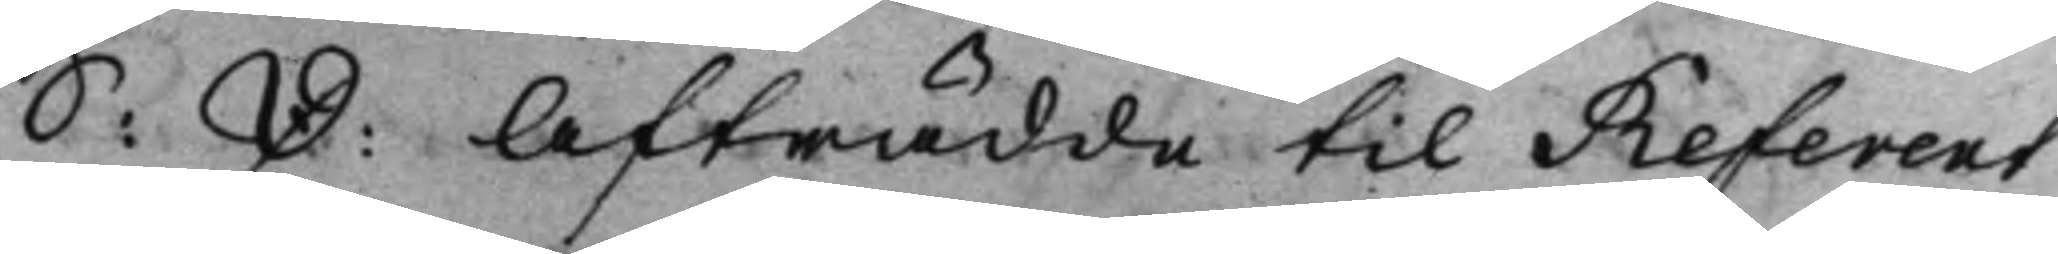S: D: Afträdde til Referent 
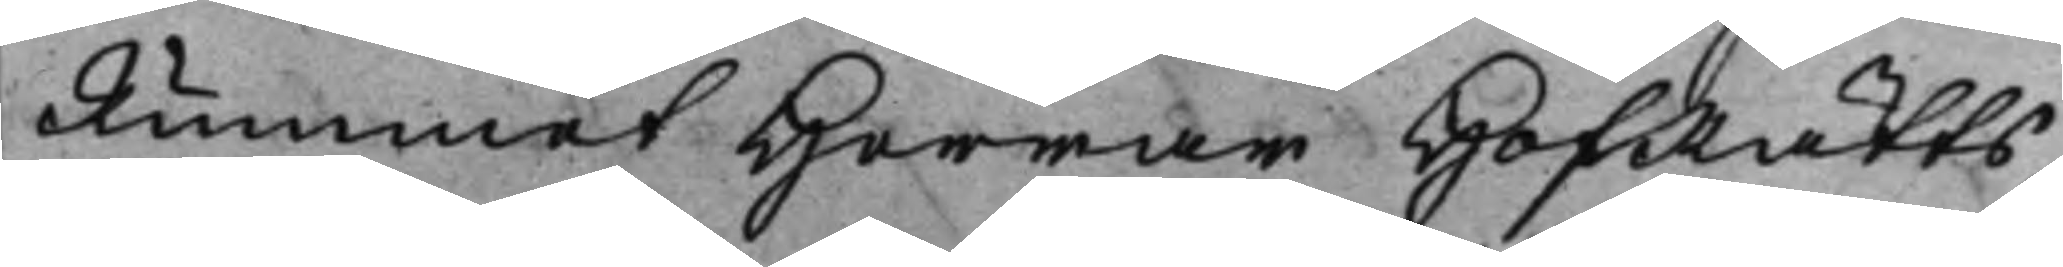Rummet Herrar HofRätts¬
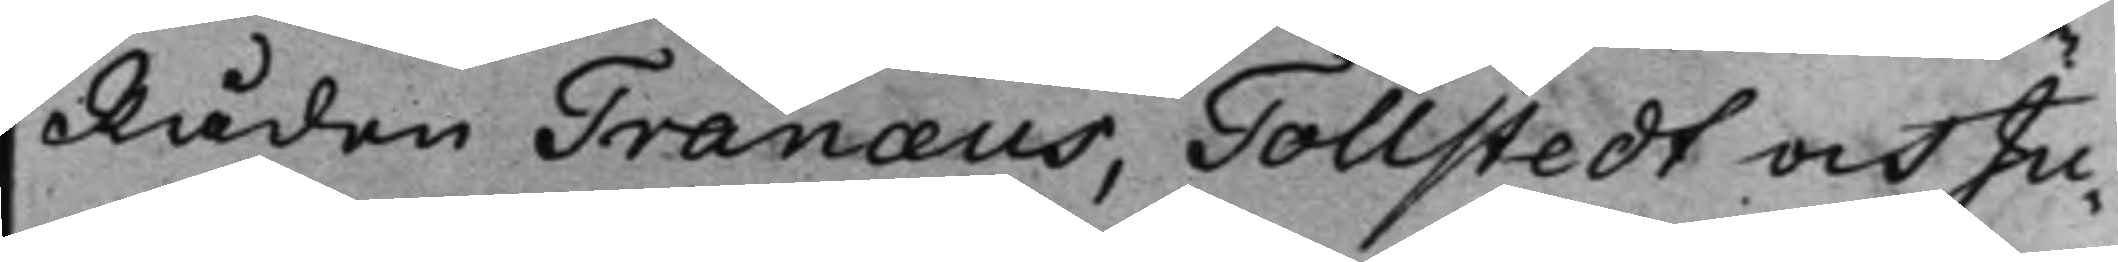Råden Tranæus, Tollstedt och Ju¬
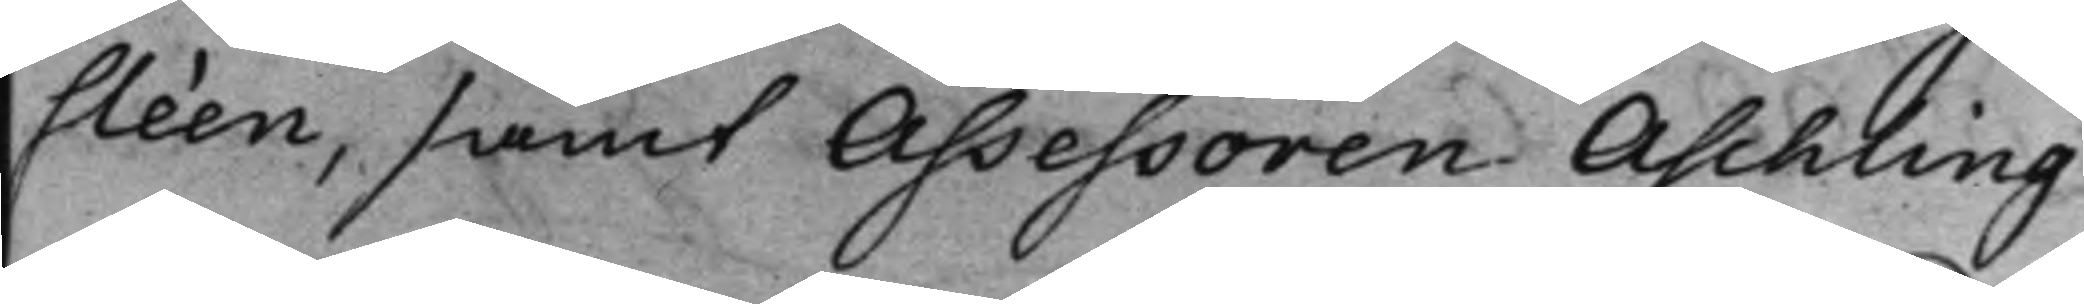sléen, samt Assessoren Aschling
